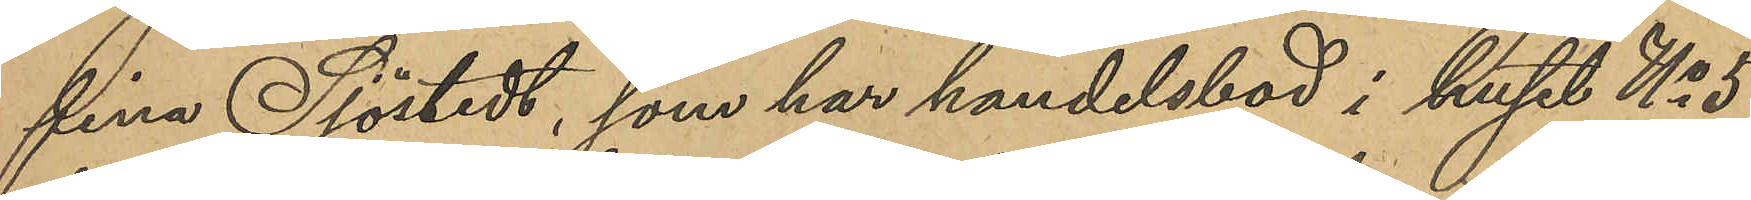fina Sjöstedt, som har handelsbod i huset No 5
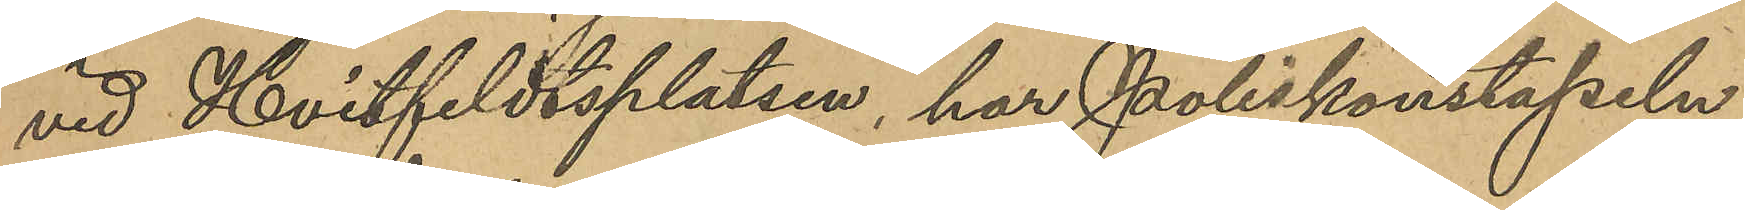vid Hvitfeldtsplatsen, har Poliskonstapeln
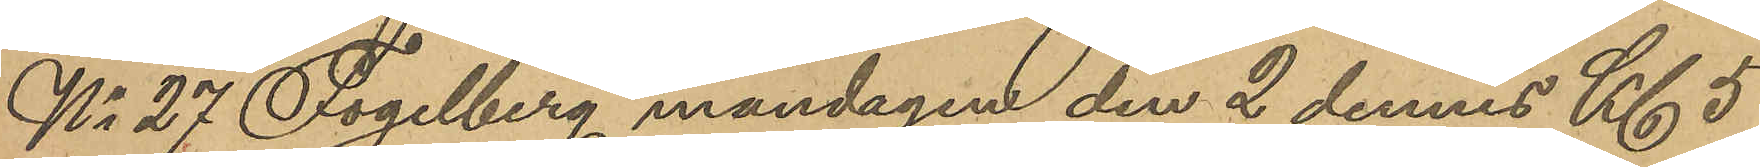No 27 Fogelberg måndagen den 2 dennes kl 5
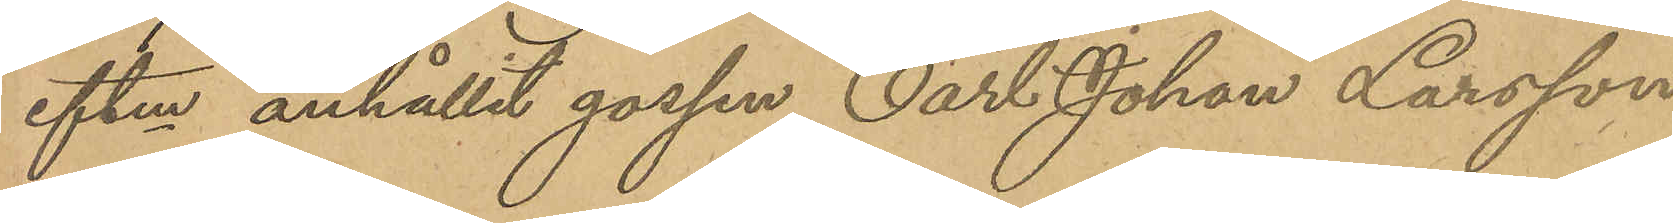eftm anhållit gossen Carl Johan Larsson
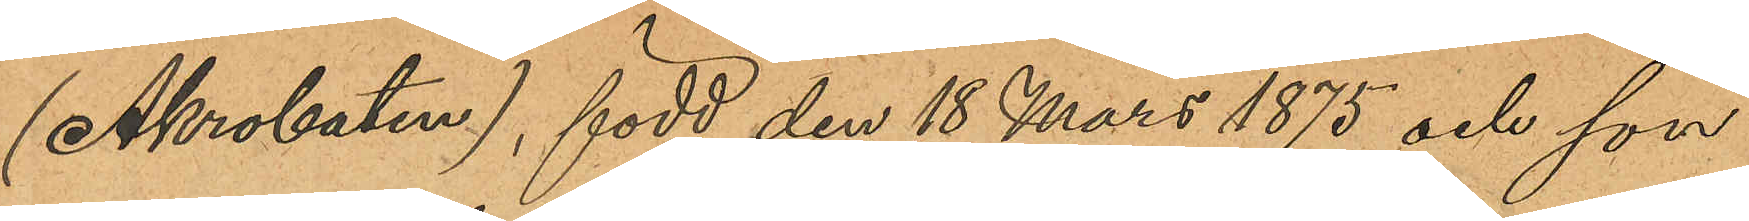(Akrobaten), född den 18 mars 1875 och son
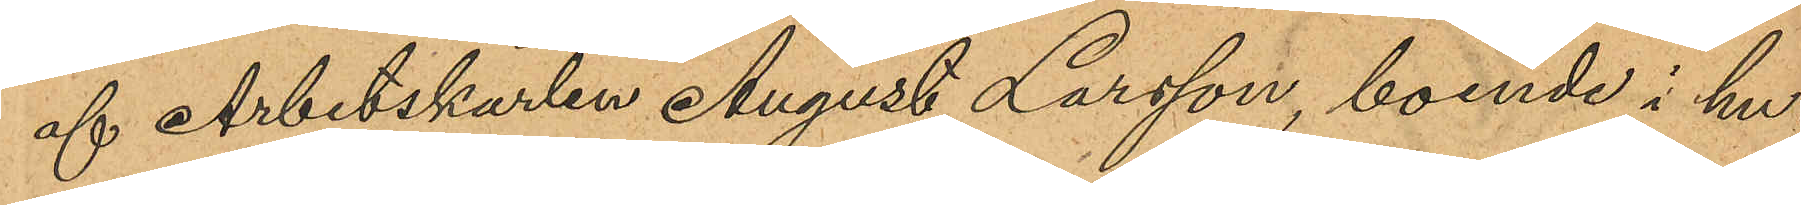af Arbetskarlen August Larsson, boende i hu¬
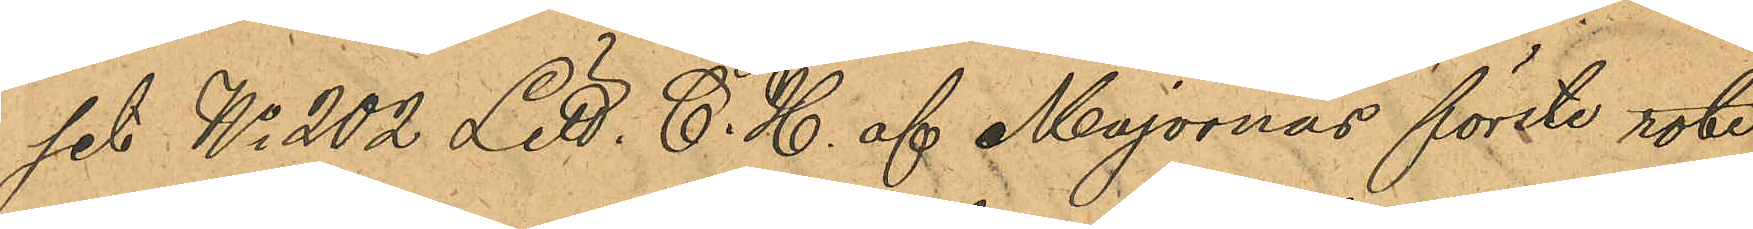set No 202 Litt C. H. af Majornas förste rote,
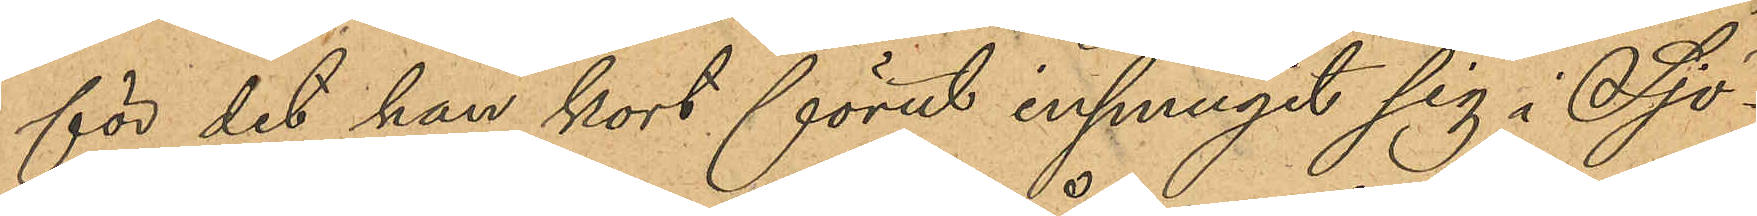för det han kort förut insmugit sig i Sjö¬
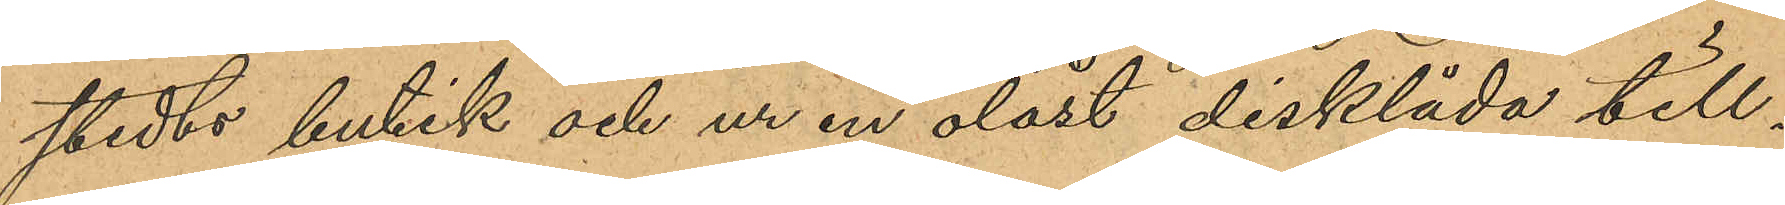stedts butik och ur en olåst disklåda till¬
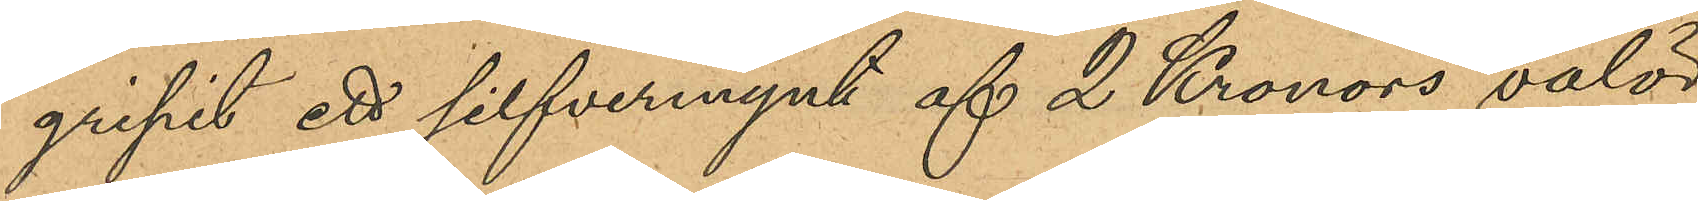gripit ett silfvermynt af 2 Kronors valör,
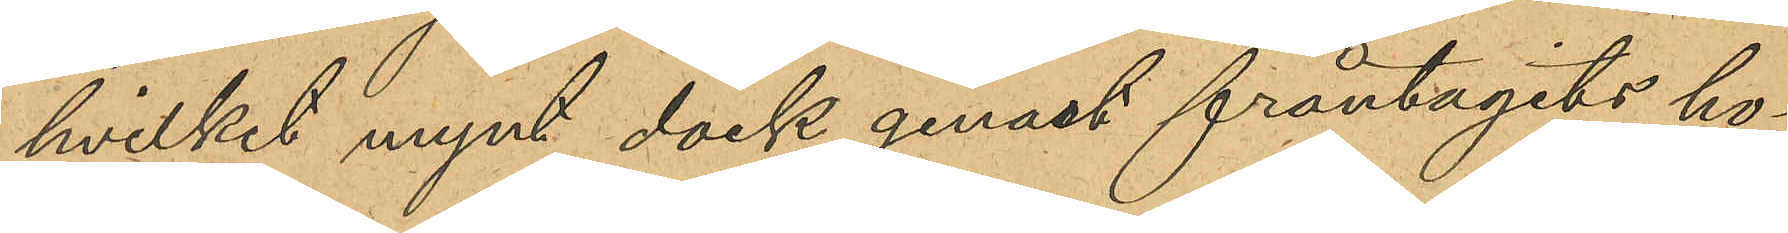hvilket mynt dock genast fråntagits ho¬
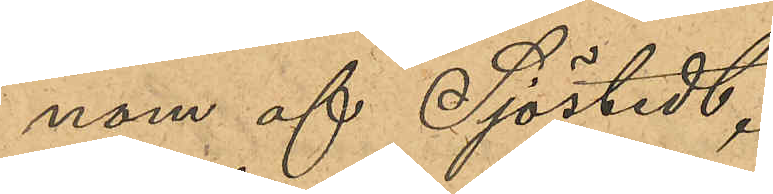nom af Sjöstedt.
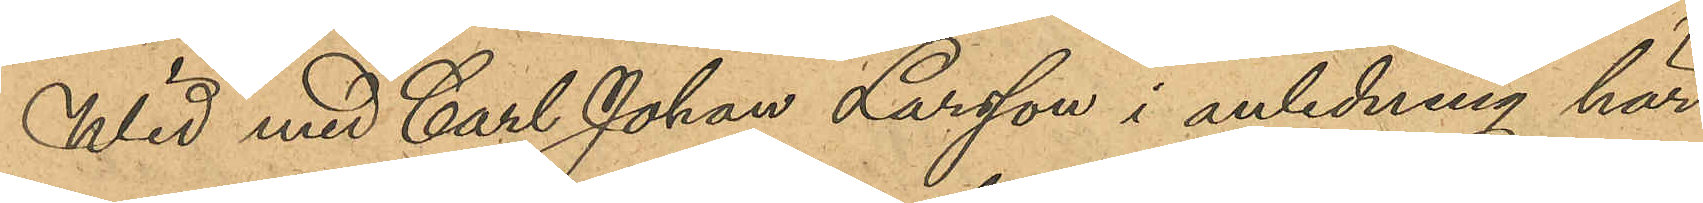Wid med Carl Johan Larsson i anledning här¬
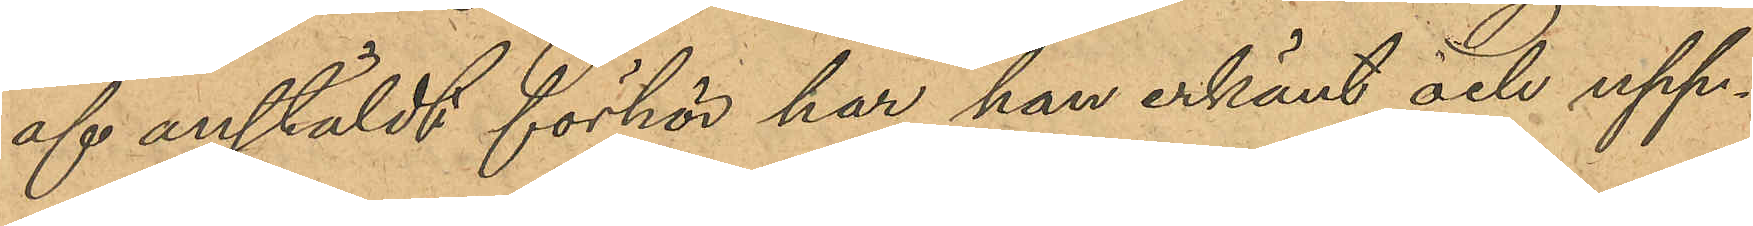af anstäldt förhör har han erkänt och upp¬
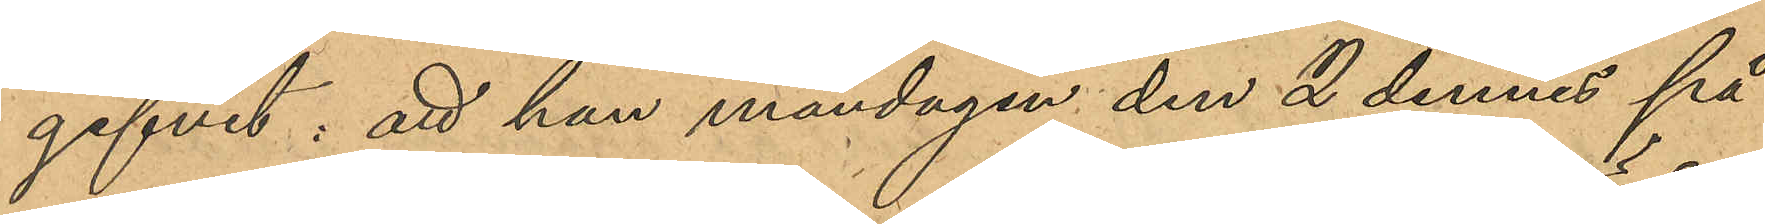gifvit: att han måndagen den 2 dennes på
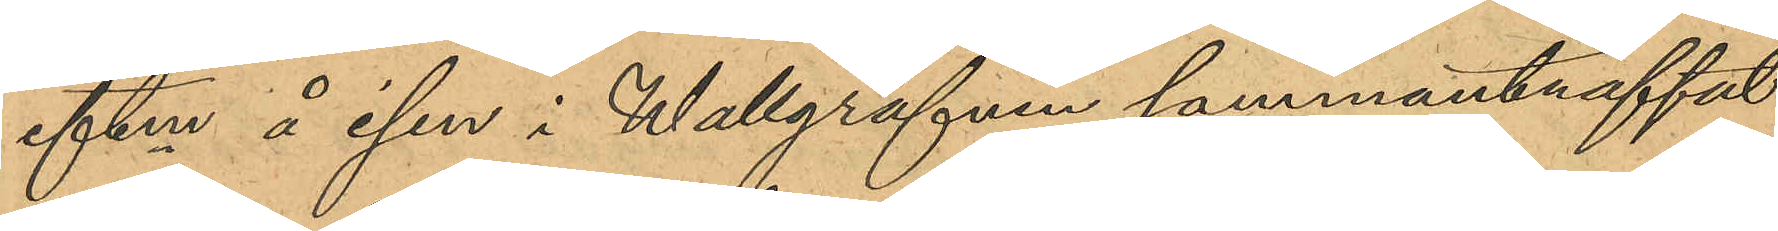eftm å isen i Wallgrafven sammanträffat
